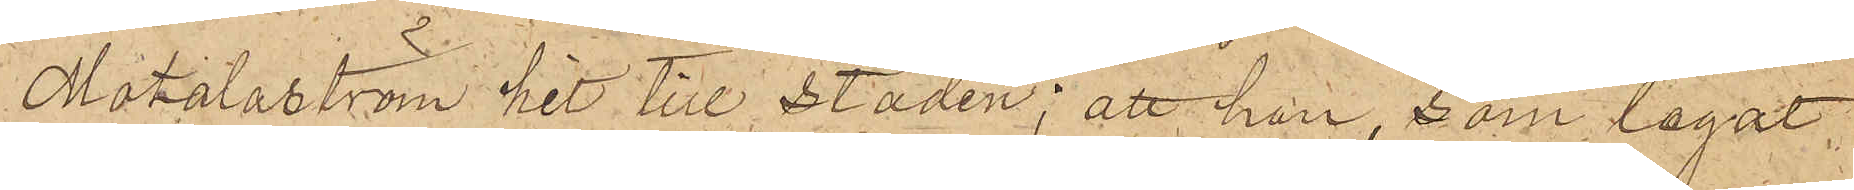Motalaström hit till staden; att han, som legat
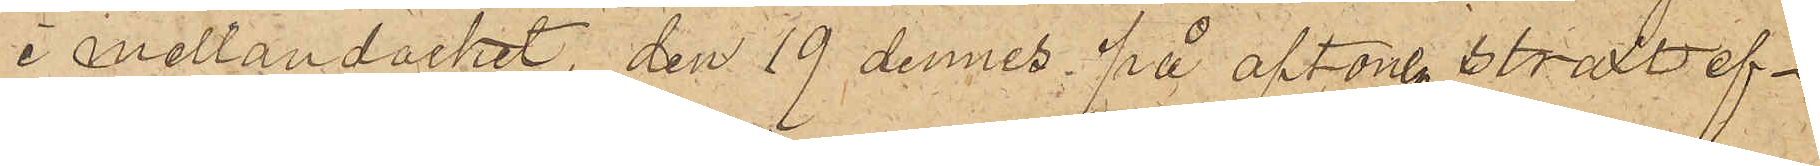i mellandäcket, den 19 dennes på aftonen, straxt ef¬
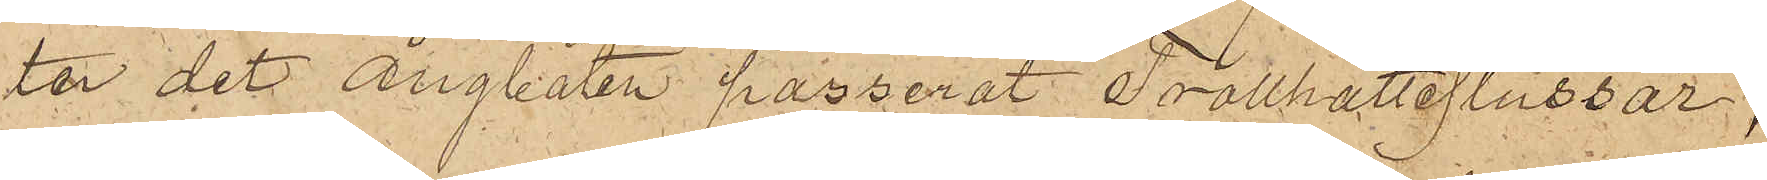tor det ångbåten passerat Trollhätteslussar,
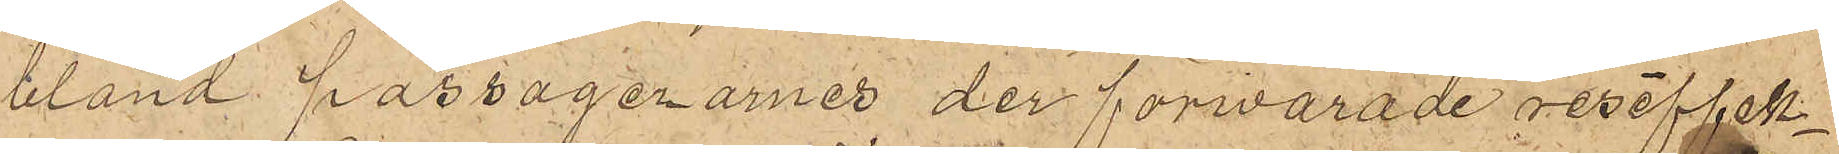bland passagerarnes der förvarade reseffek¬
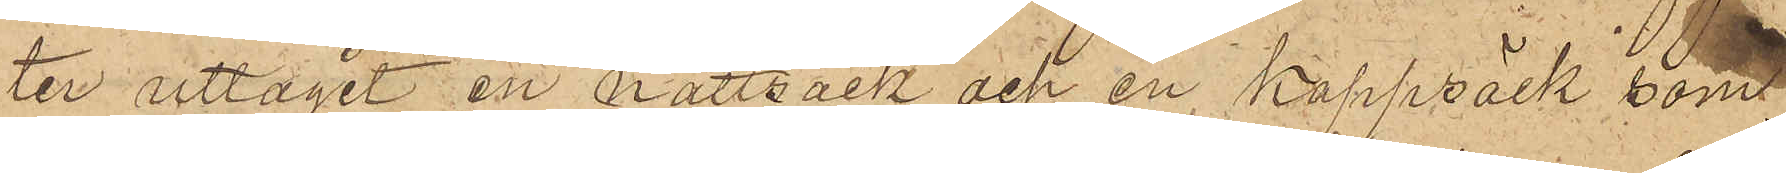ter uttagit en nattsäck och en kappsäck som
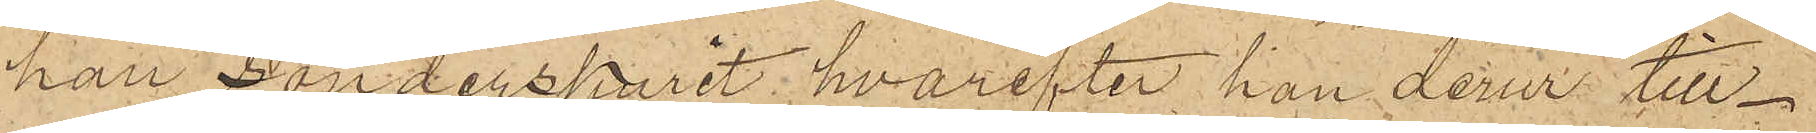han sönderskurit hvarefter han derur till¬
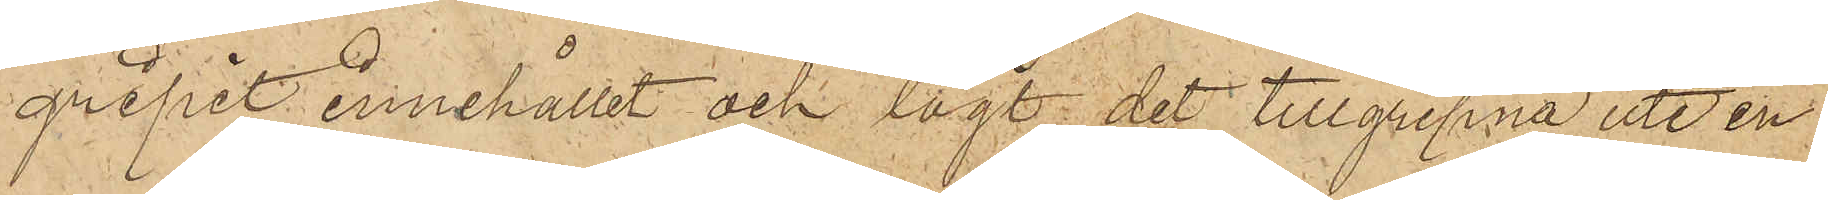gripit innehållet och lagt det tillgripne uti en
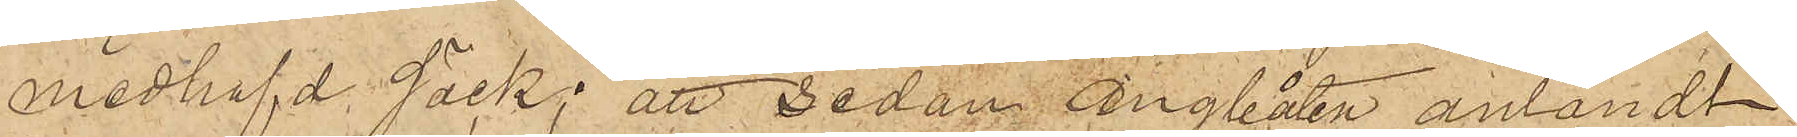medhafd säck; att sedan ångbåten anländt
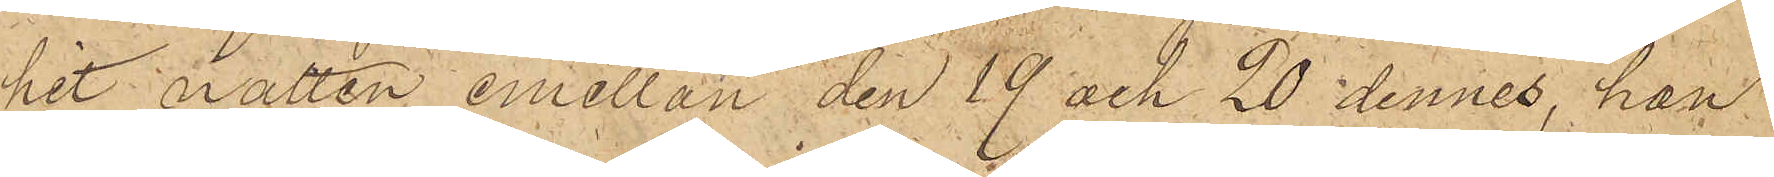hit natten emellan den 19 och 20 dennes, han
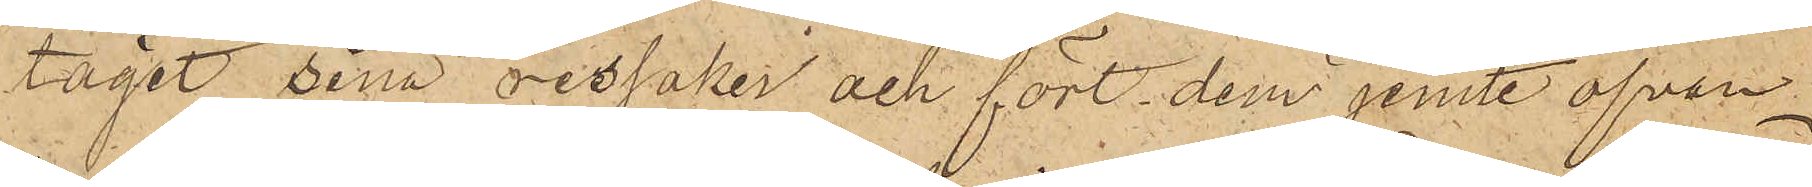tagit sina ressaker och fört dem jemte ofvan¬
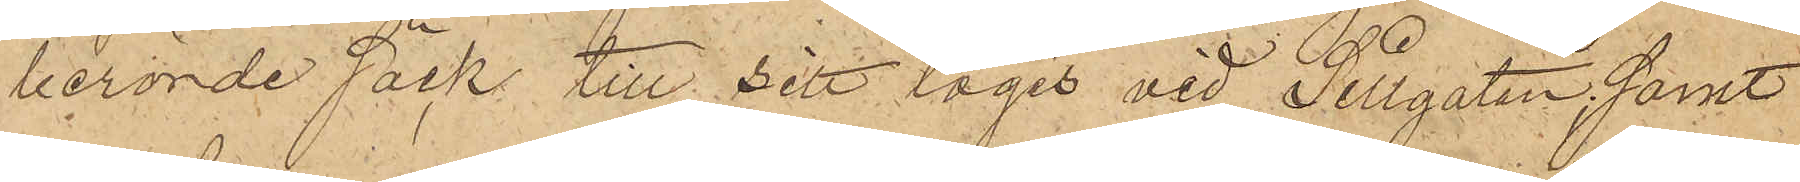berörde säck till sitt logis vid Sillgatan, samt
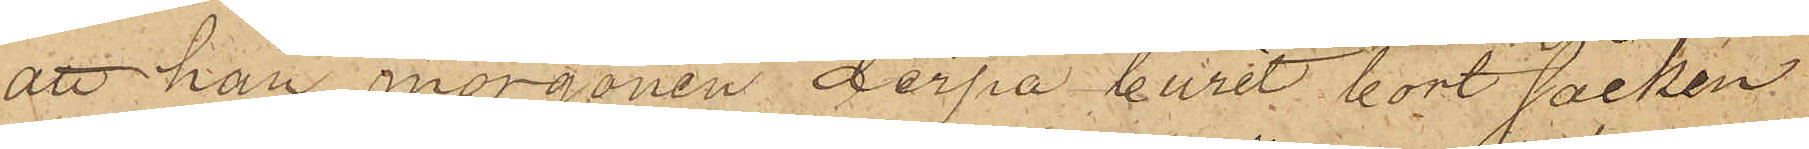att han morgonen derpå burit bort säcken
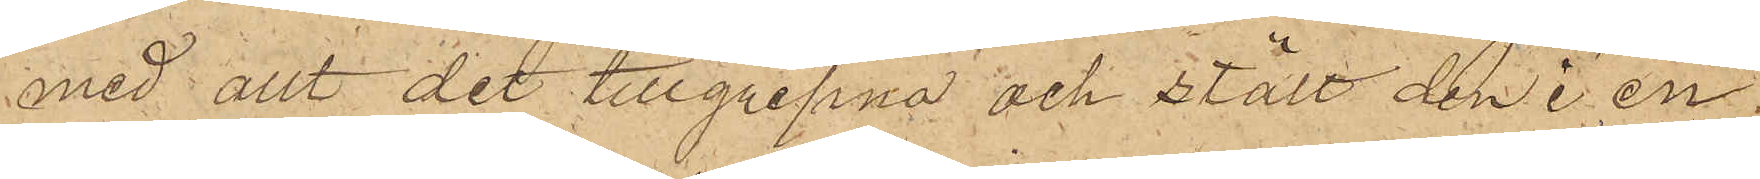med allt det tillgripna och stält den i en
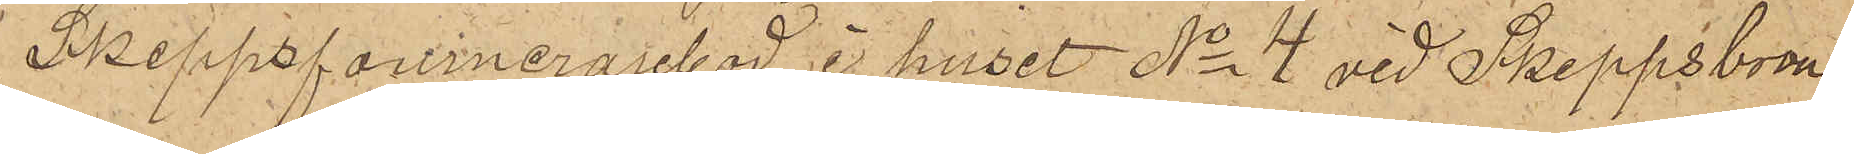Skeppsfournerarebod i huset No 4 vid Skeppsbron.
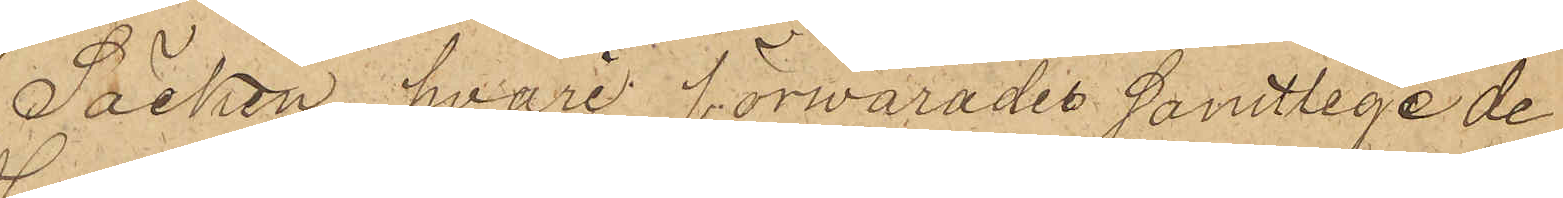Säcken, hvari förvarades samtlige de
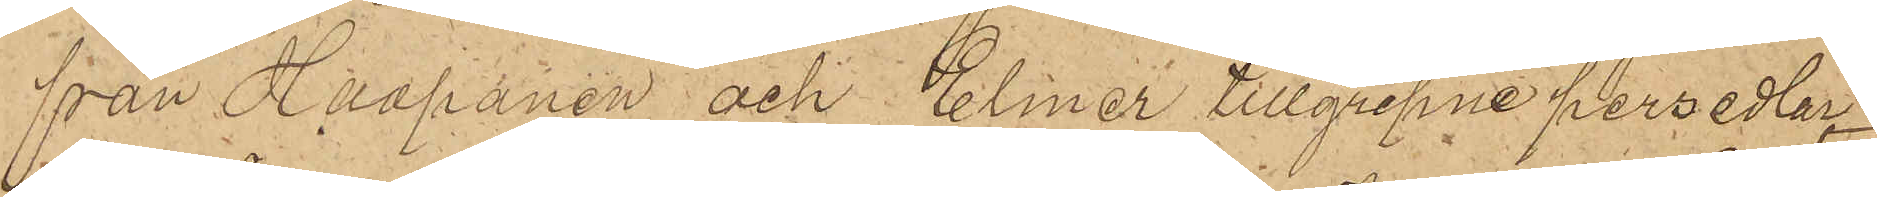från Haapanen och Elmér tillgripne persedlar,
